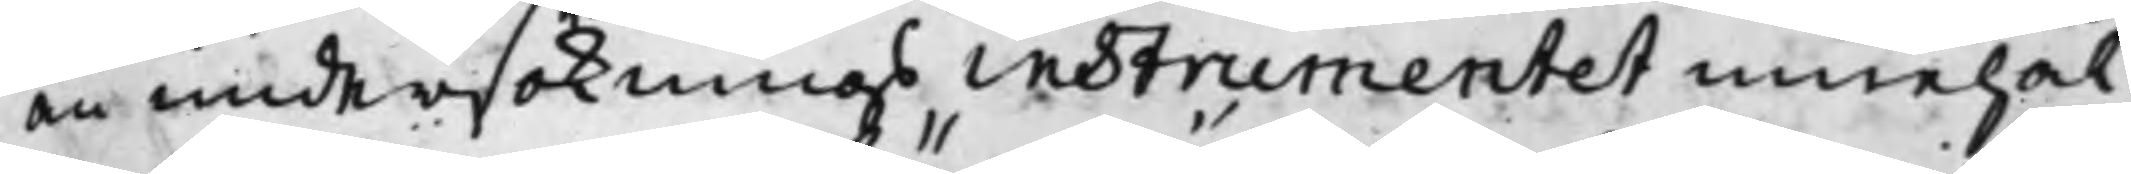än undersöknings instrumentet innehål¬
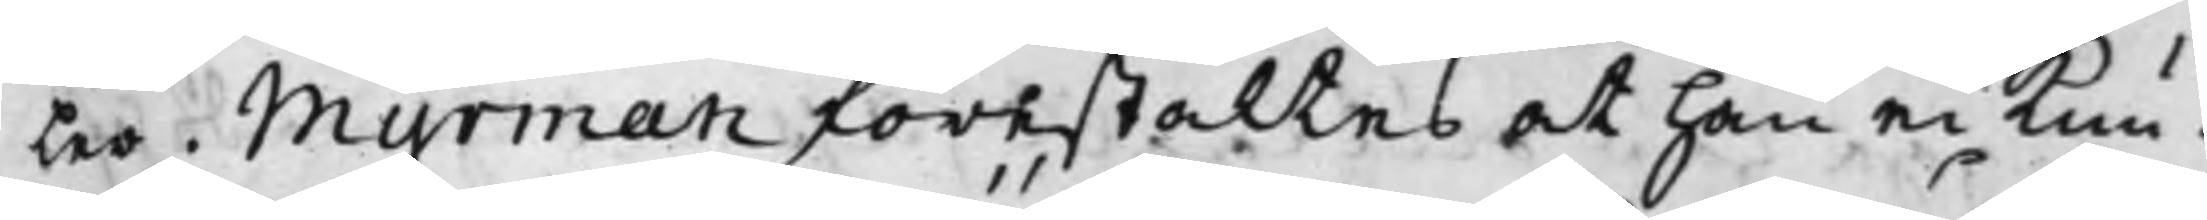ler. Myrman förestältes at han ei kun¬
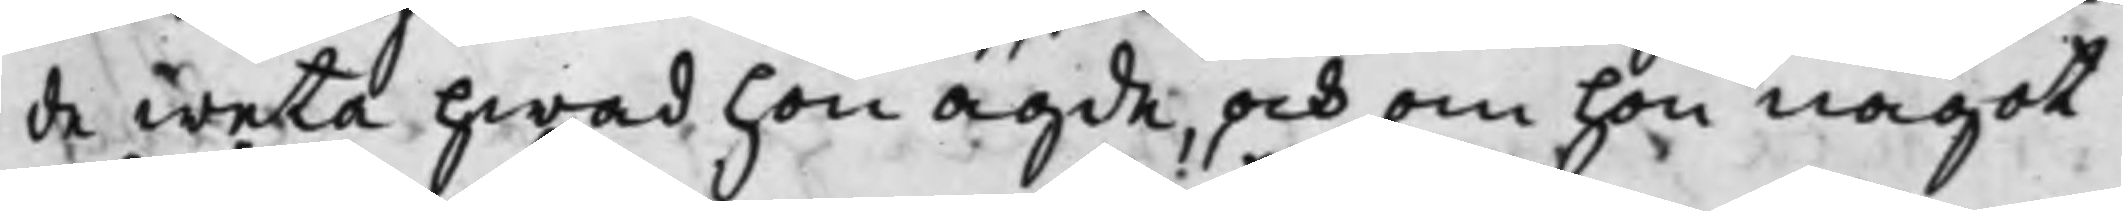de weta hwad hon ägde och om hon något
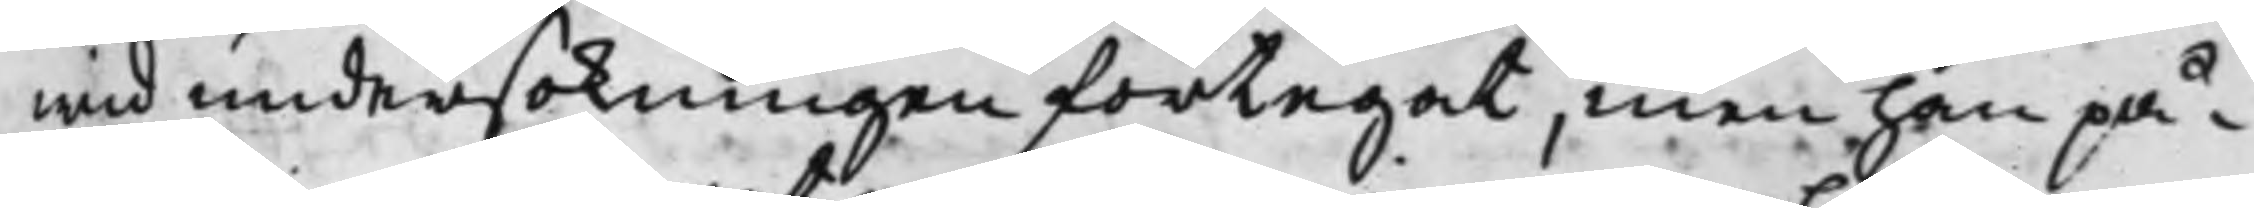wid undersökningen förtegat, men han på¬
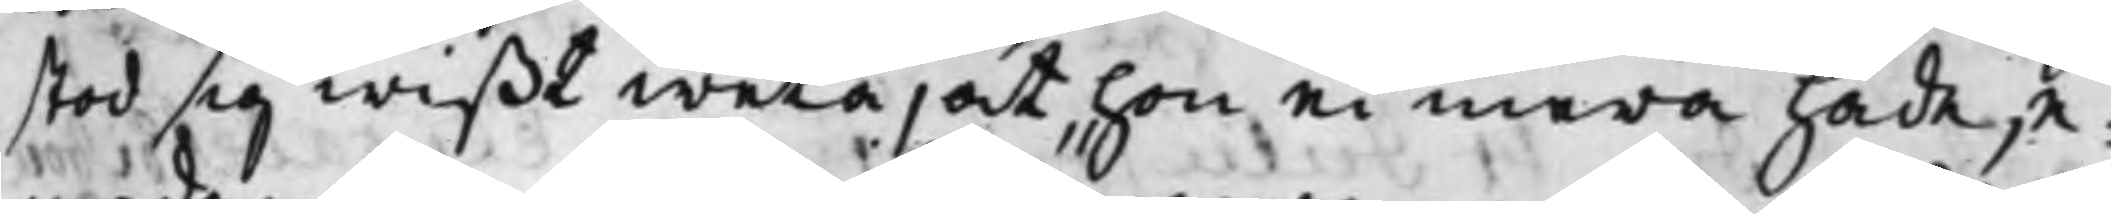stod sig wißt weta, at hon ei mera hade, e¬
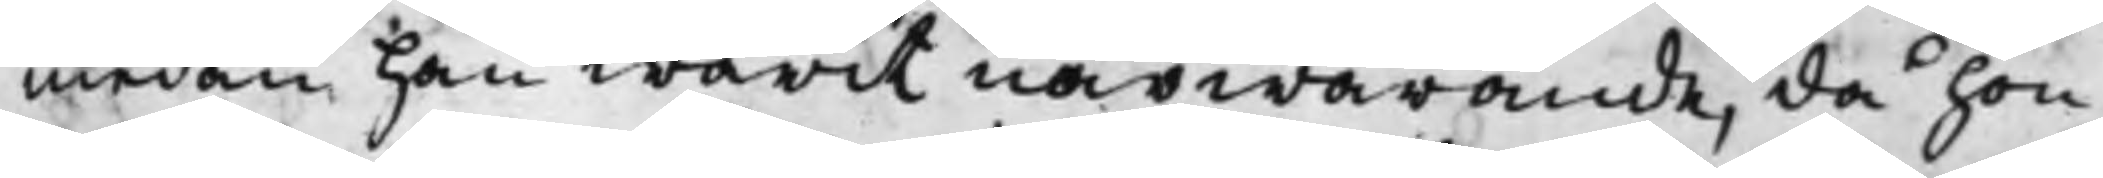medan han warit närwarande, då hon
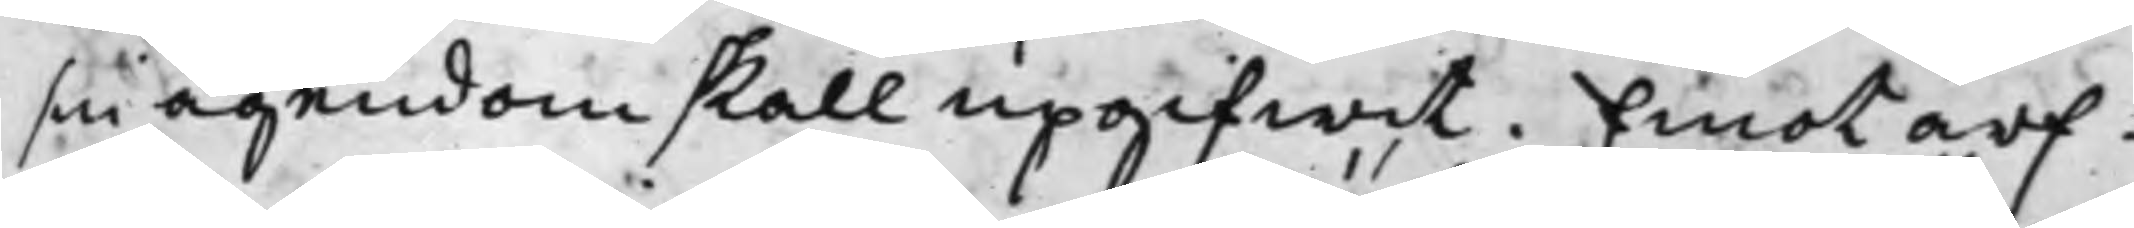sin ägendom skall upgifwit. Emot arf¬
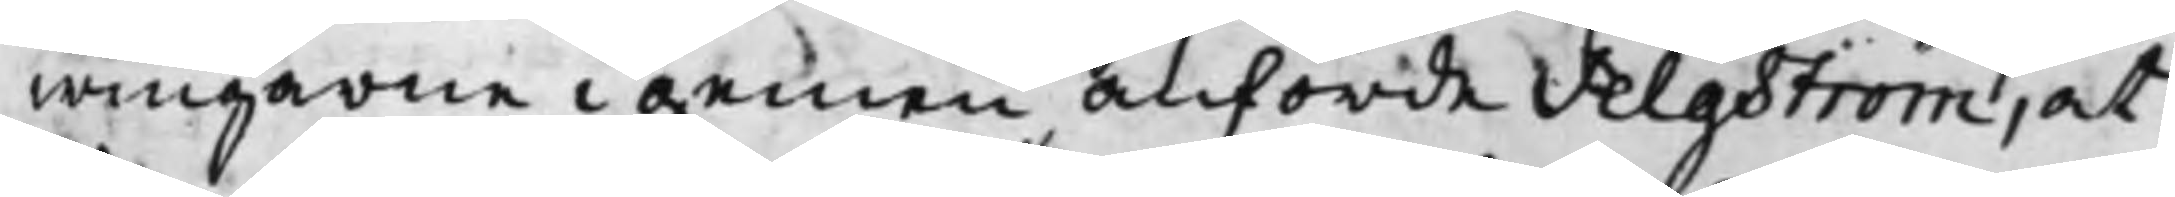wingarne i gemen anförde Selgström, at
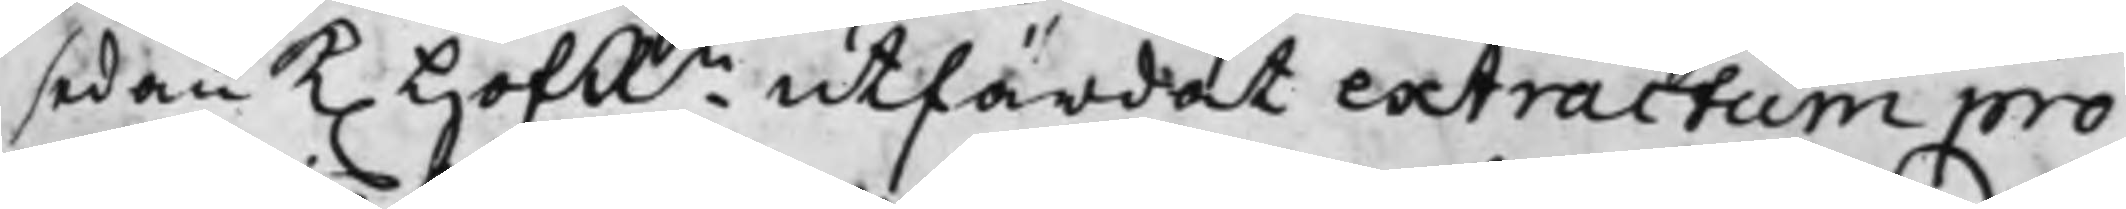sedan K. HofRn utfärdat extractum pro¬
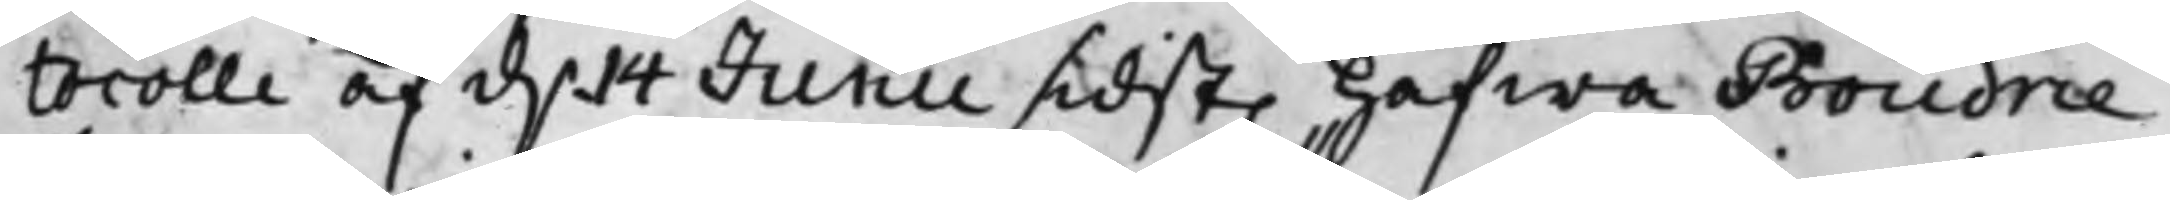tocolli af d. 14 Junii sidst. hafwa Boudrie¬
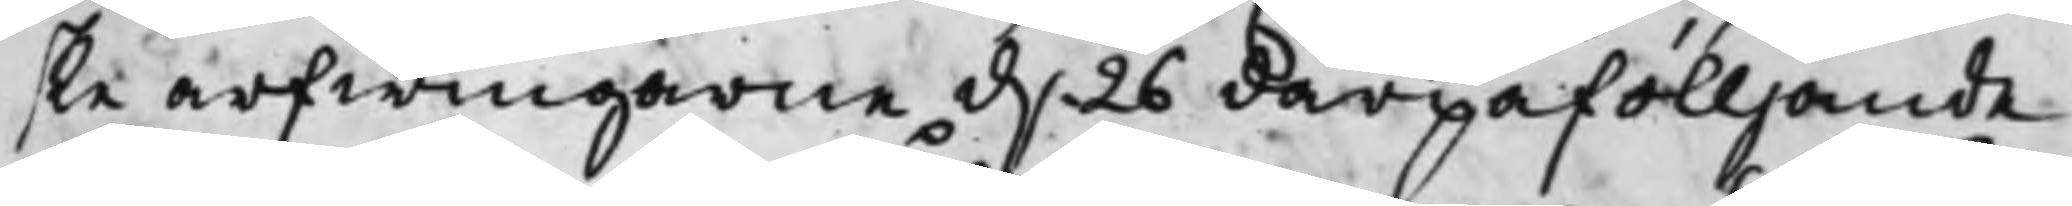ske arfwingarne d. 26 därpåfölljande
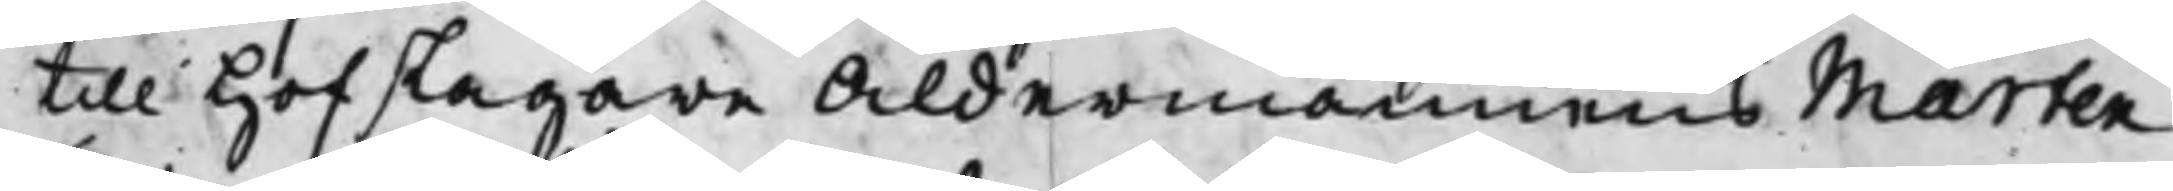till Hofslagare Åldermannens Mårten
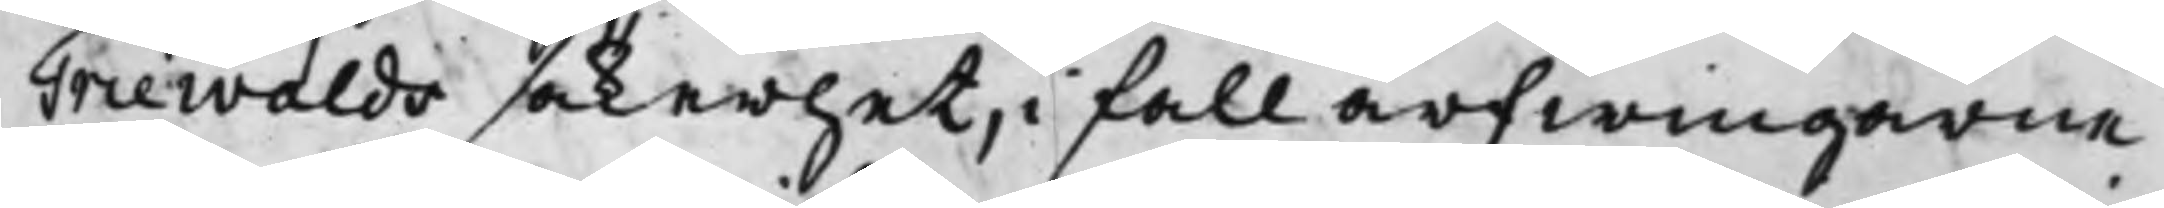Triewalds säkerhet, i fall arfwingarne
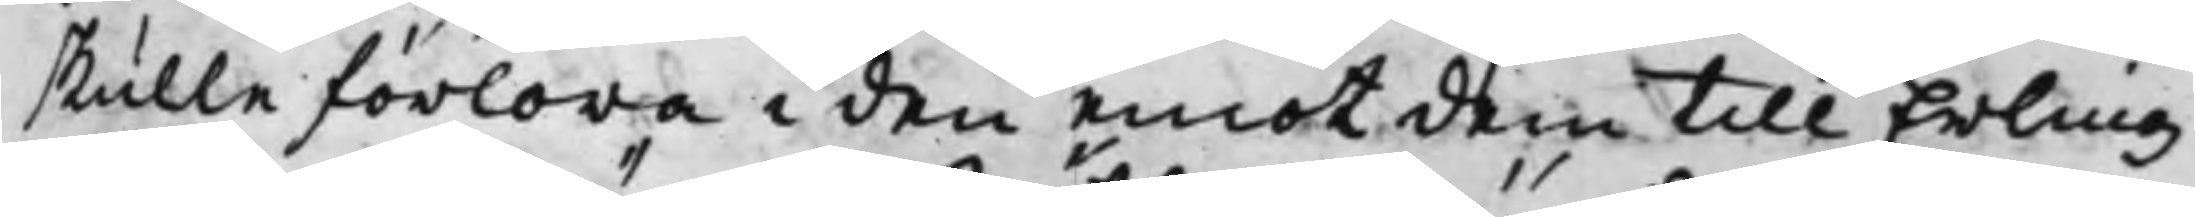skulle förlora i den emot dem till Erling¬
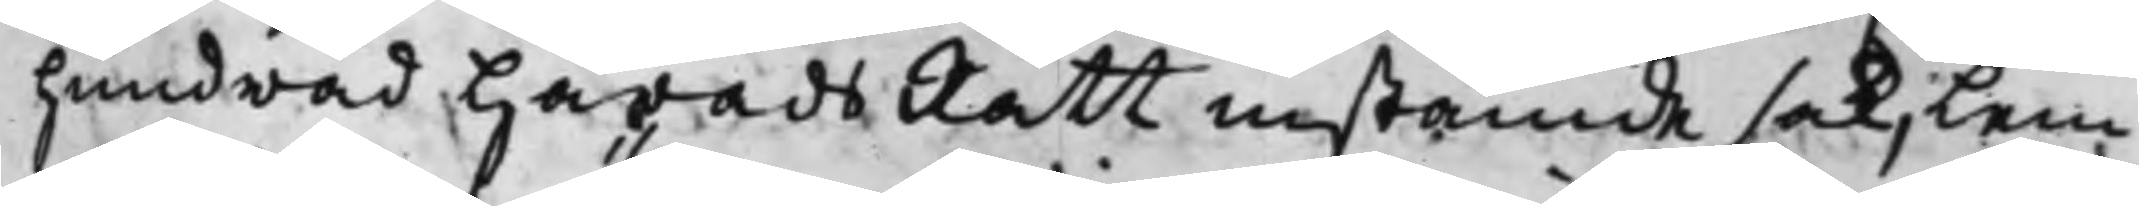hundrad HäradsRätt instämde sak, lem¬
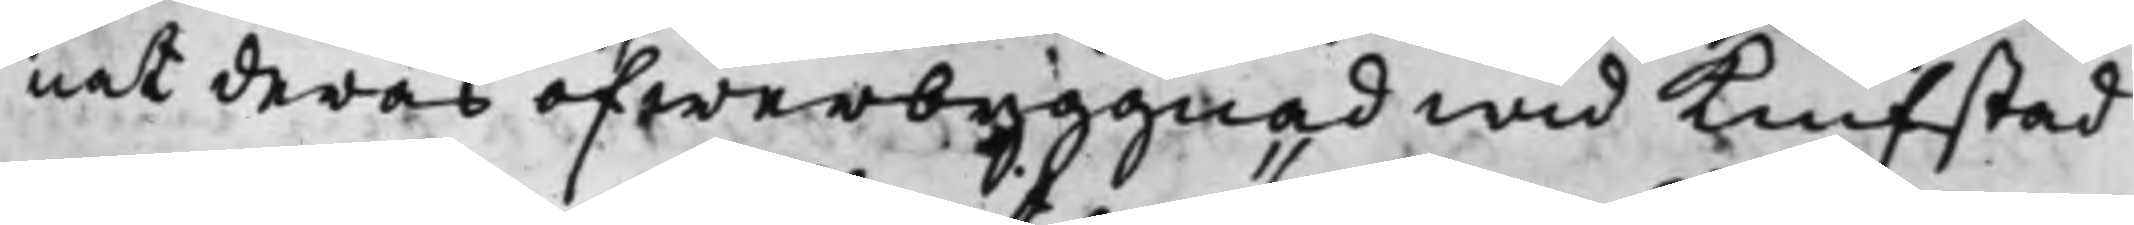nat deras öfwerbyggnad wid Knifstad
